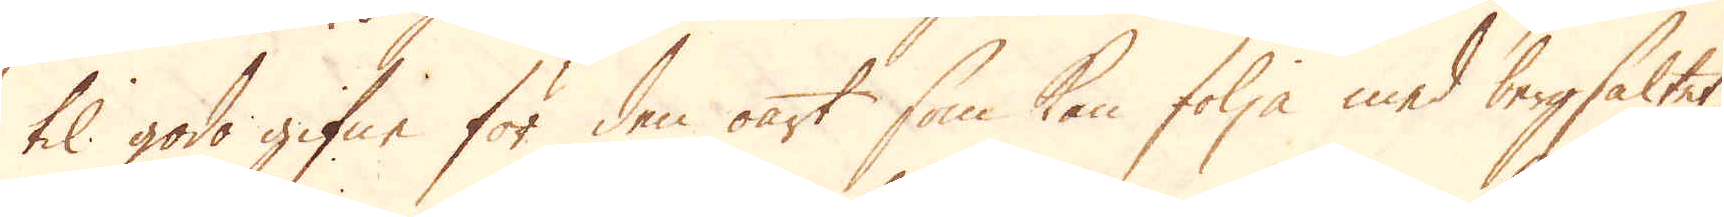til godo gifne för den oart som kan följa med bergsaltet,
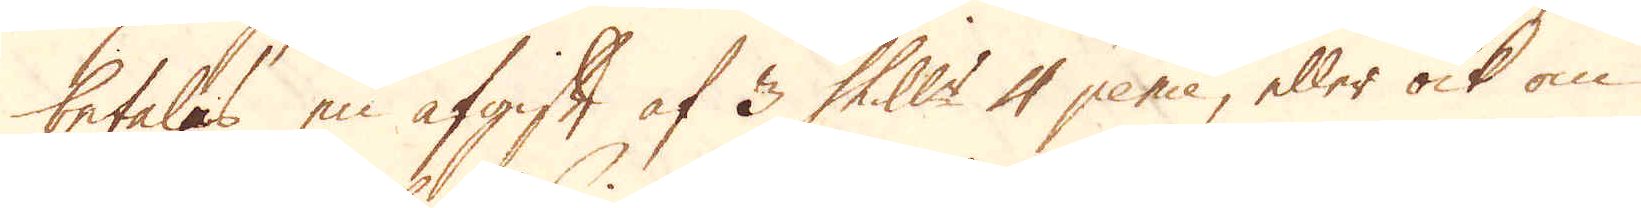betalas en afgift af 3 Shill:r 4 pence, eller ock om
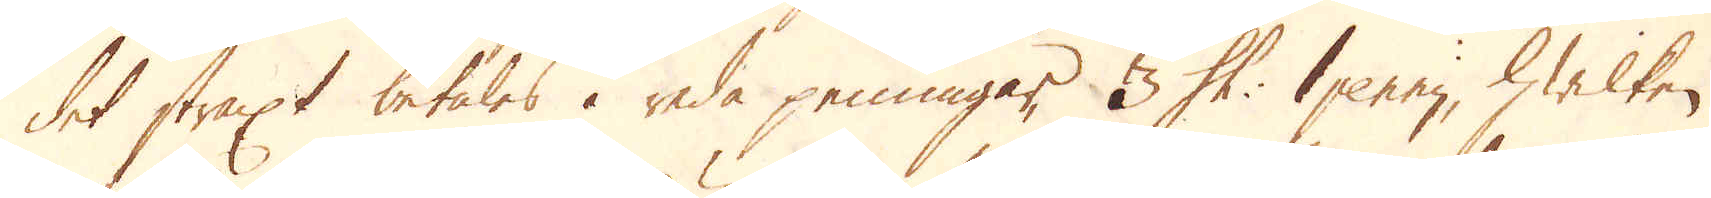det straxt betales i reda penningar, 3 Sh: 1 penny, hwilken
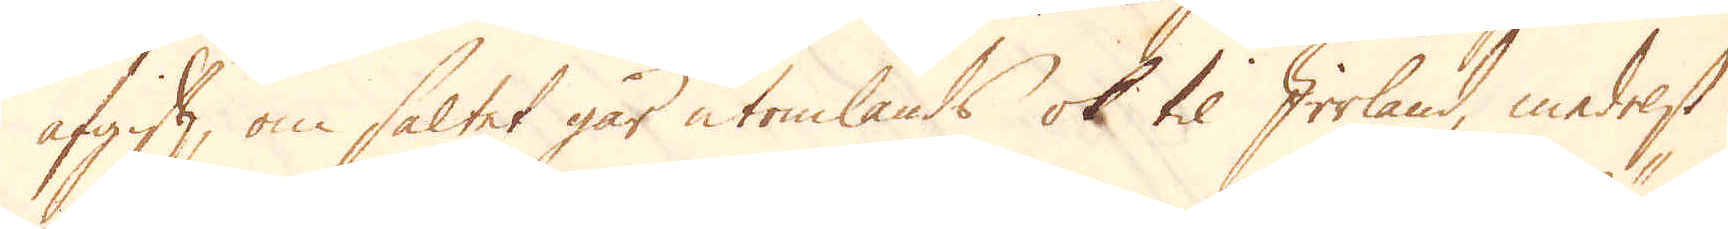afgift, om saltet går utomlands ok til Irrland, medelst
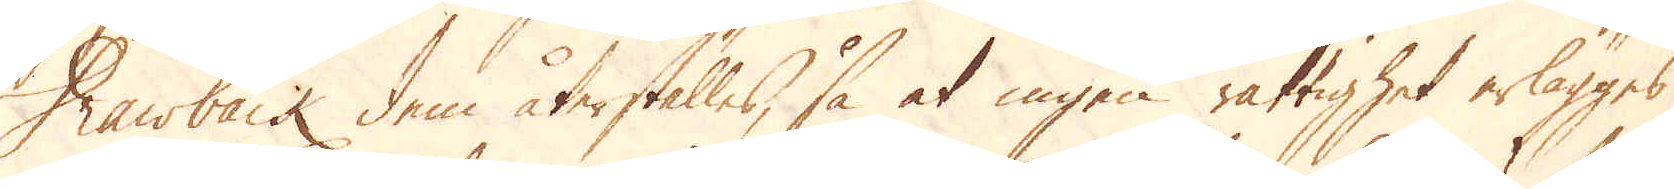Drawback dem återställes, så at ingen rättighet erlägges
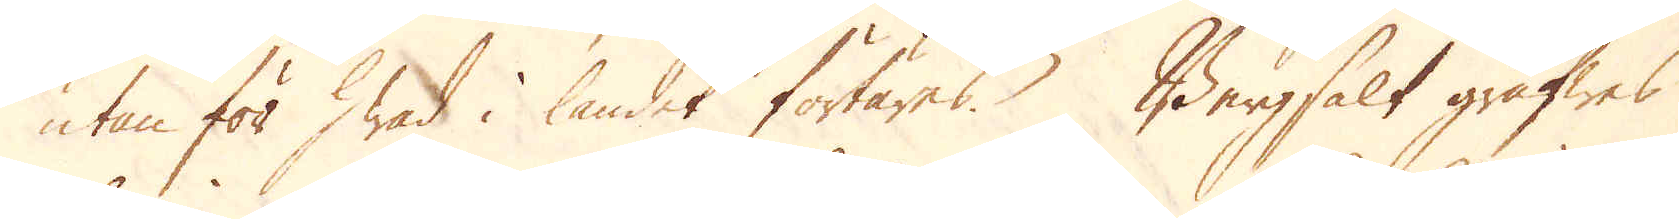utan för hwad i landet förtäres. Bergsalt gräfwes
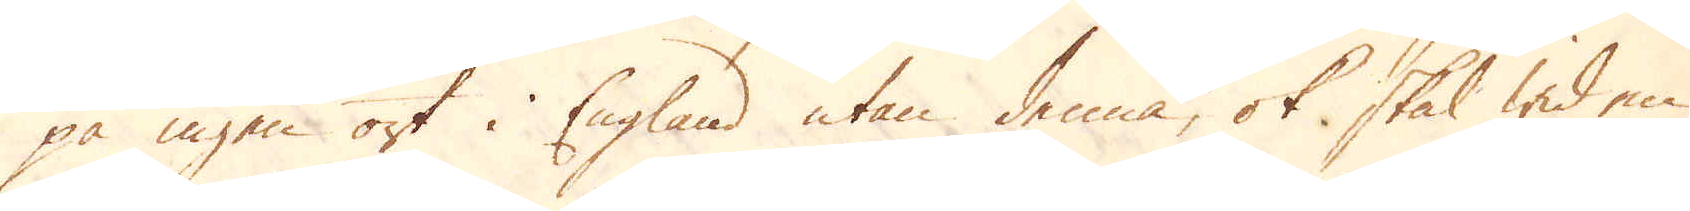på ingen ort i England utan denna, ok skal wid en
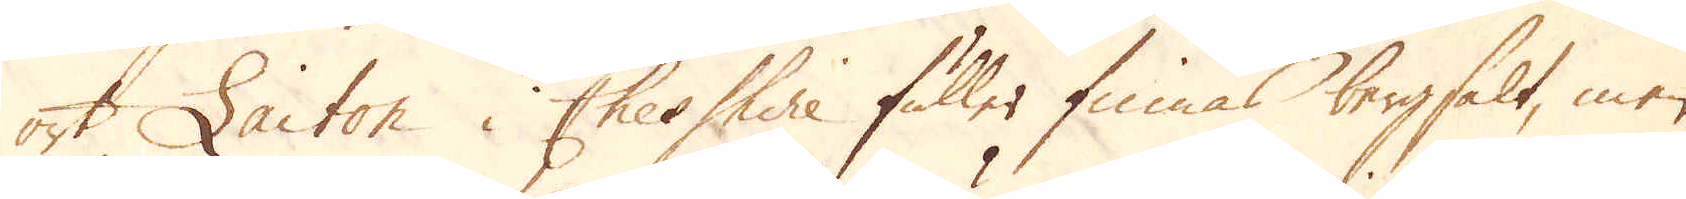ort Laiton i Cheshire fuller finnas bergsalt, men
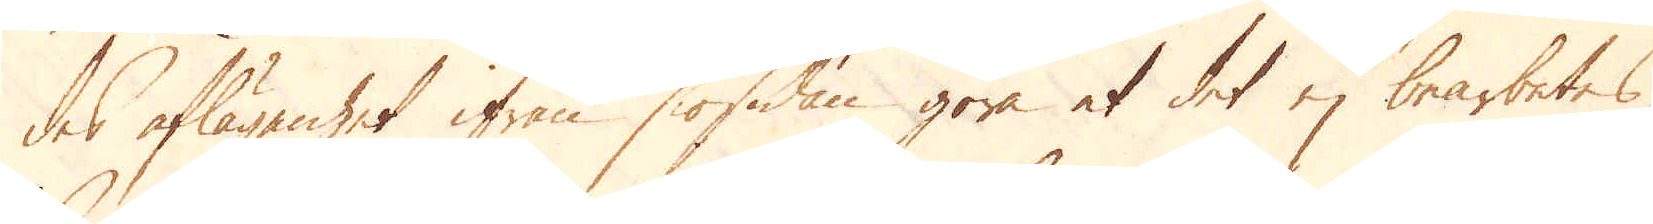des aflägsenhet ifrån siösidan göra at det ej bearbetas.
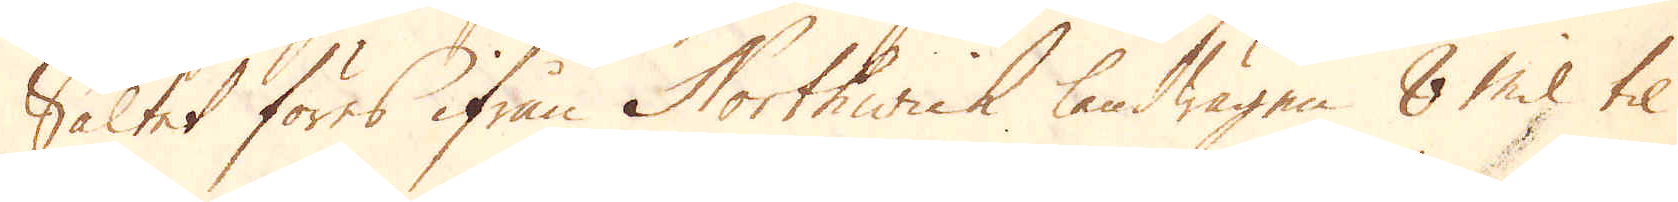Saltet föres ifrån Northwich landwägen 8 Mil til
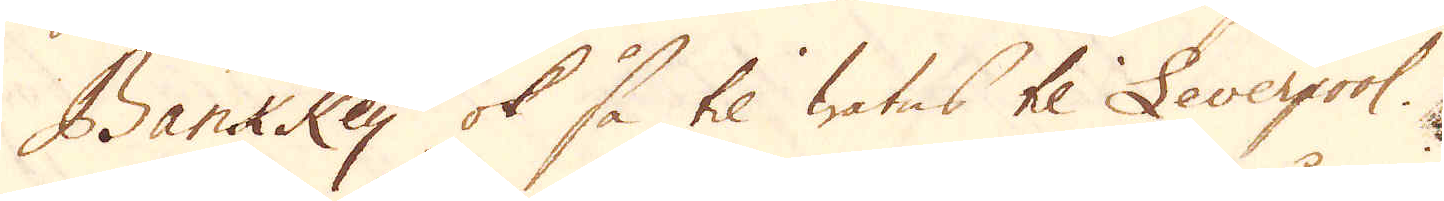Bank Key ok så til watns til Leverpool.
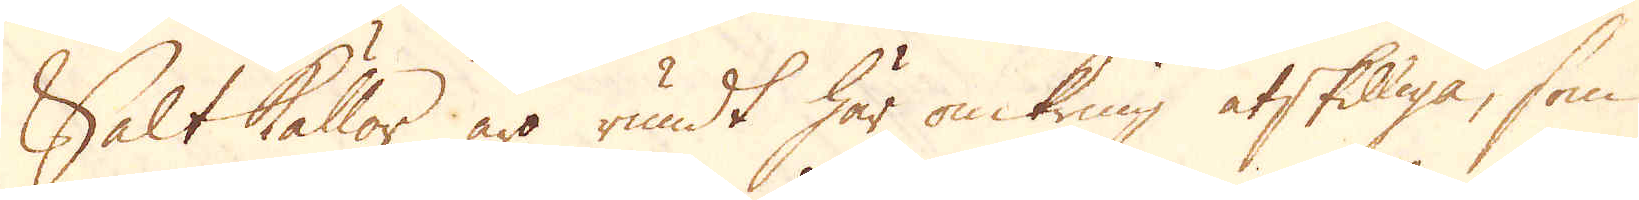Saltkällor äro rundt här omkring åtskilliga, som
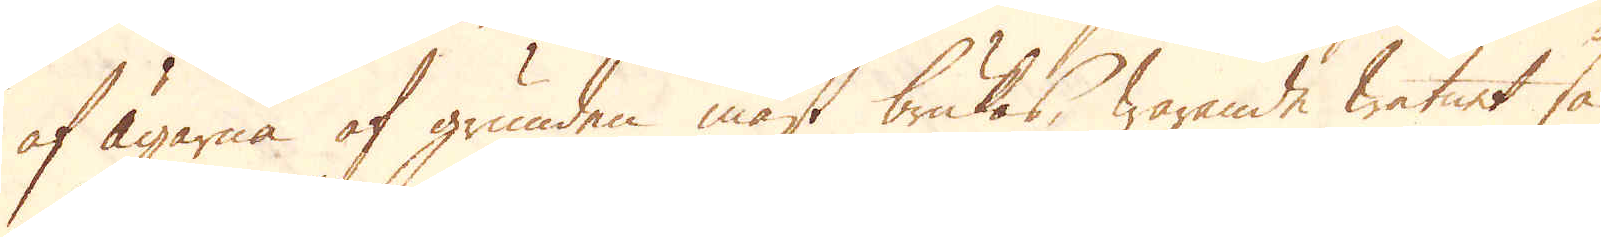af Ägarna af grunden mäst brukas, warande watnet så
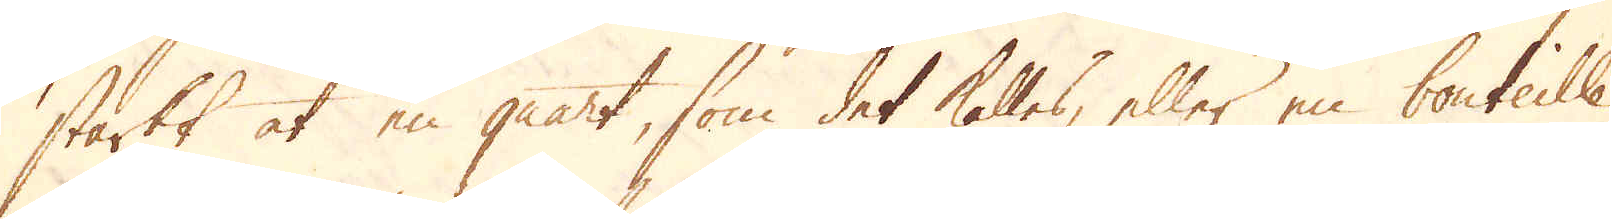starkt at en quart, som det kallas, eller en bouteille
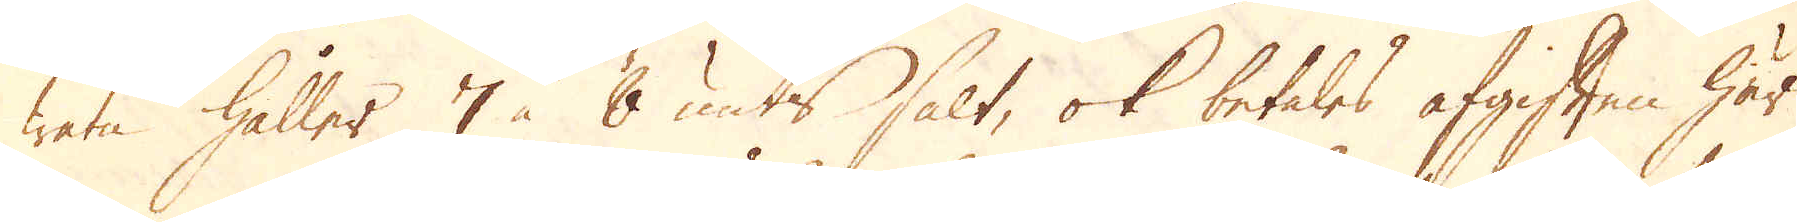watn håller 7 à 8 unts salt, ok betales afgiften här
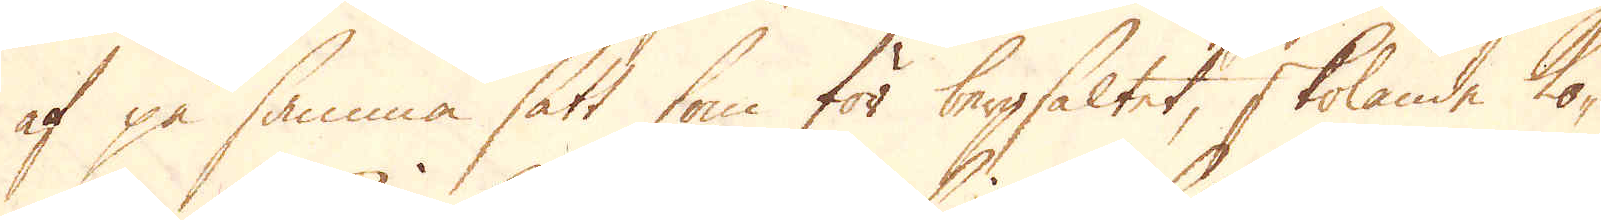af på samma sätt som för bergsaltet, skolande Ko-
